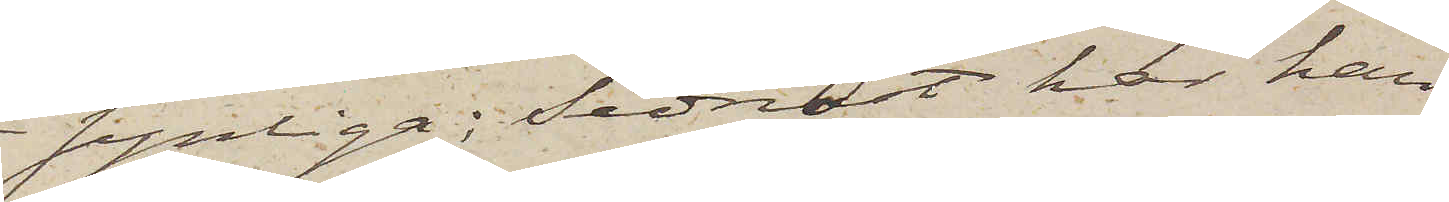synliga; Sednast har han
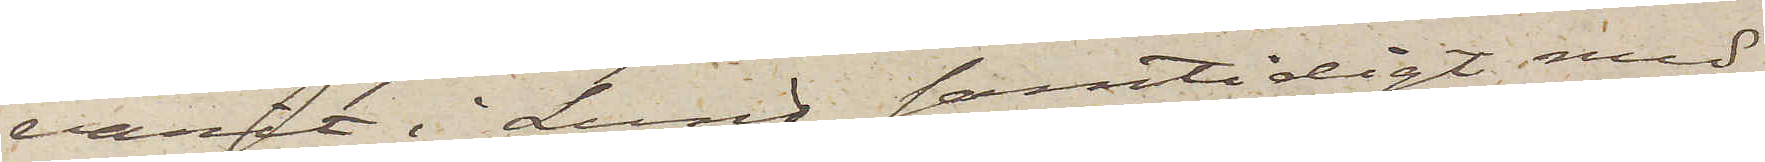varit i Lund samtidigt med
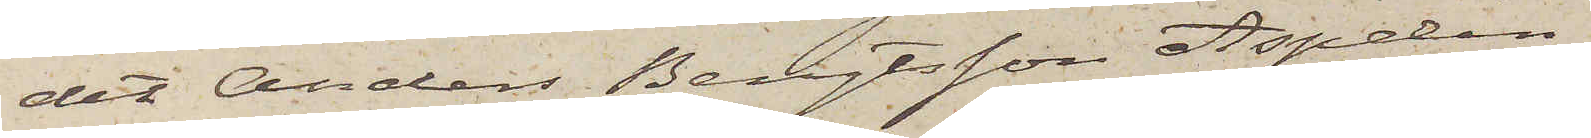det Anders Bengtsson Aspelin
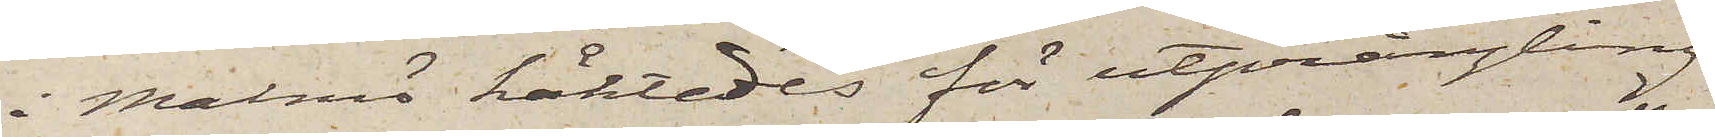i Malmö häktades för utprångling
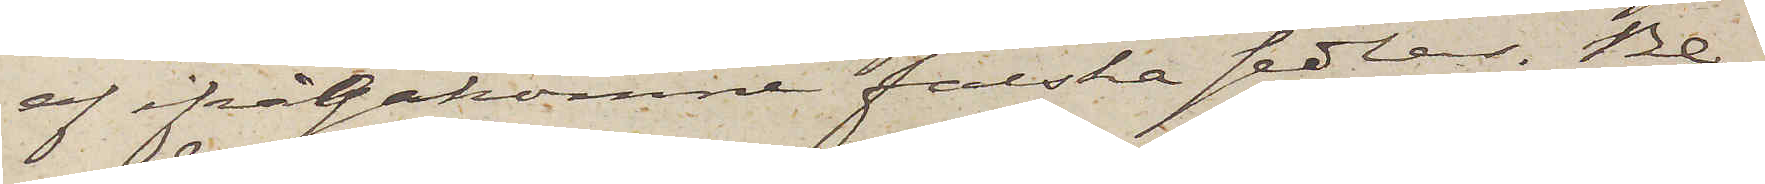af ifrågakomne falska sedlar. Be¬
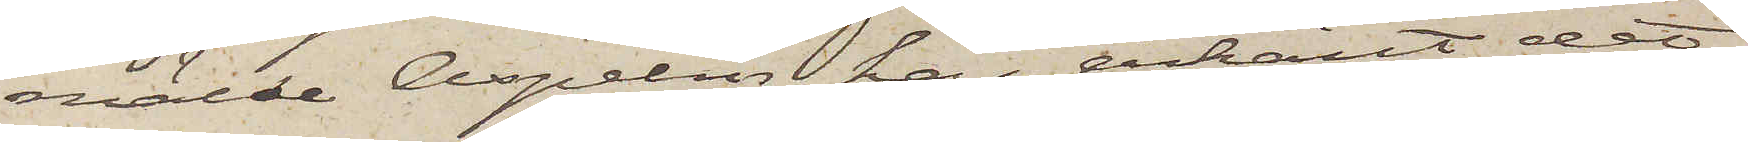mälde Aspelin har erkänt det
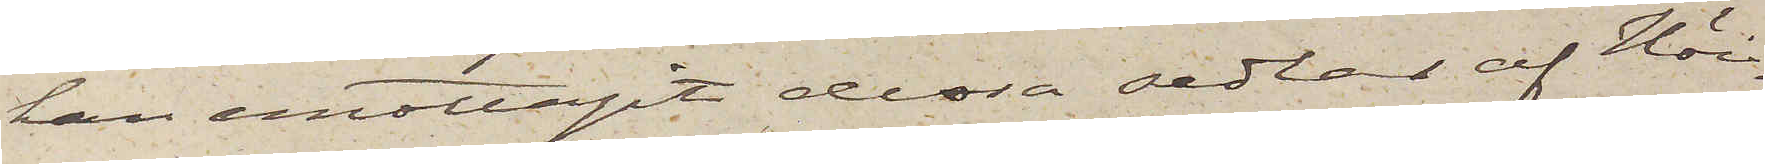han emottagit dessa sedlar af Höi¬
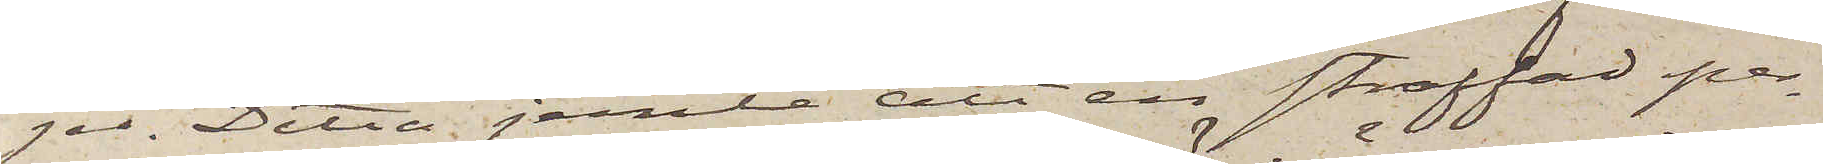jer. Detta jemte att en straffad per¬
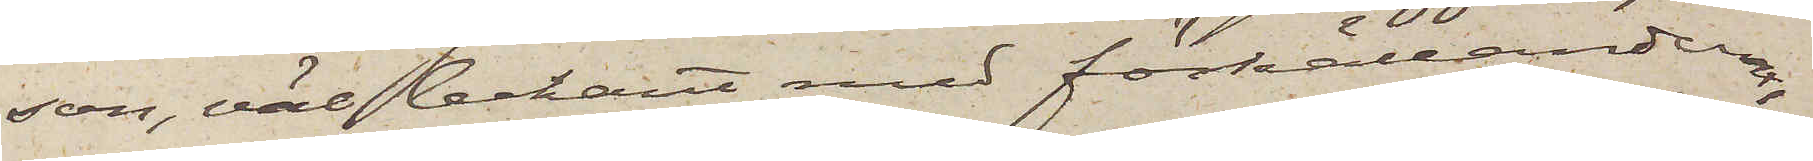son, väl bekant med förhållandena
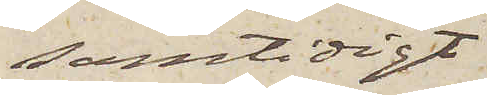samtidigt
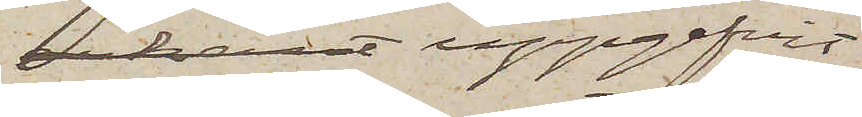erkant uppgifvit
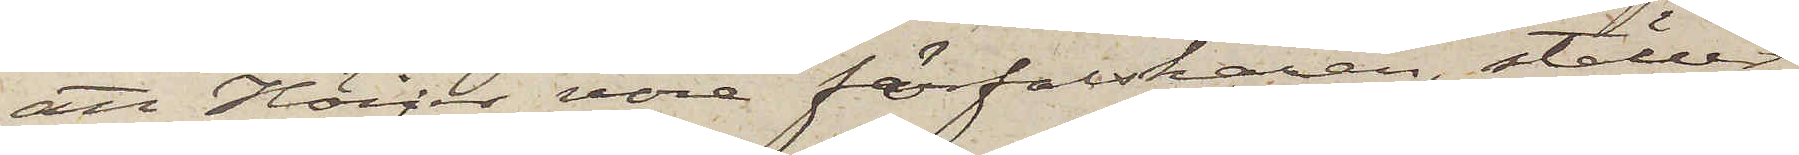att Höijer vore förfalskaren, ställer
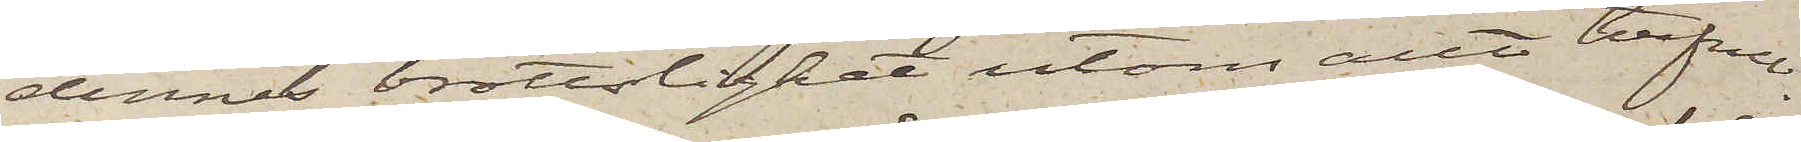dennes brottslighet utom allt tvifvel.
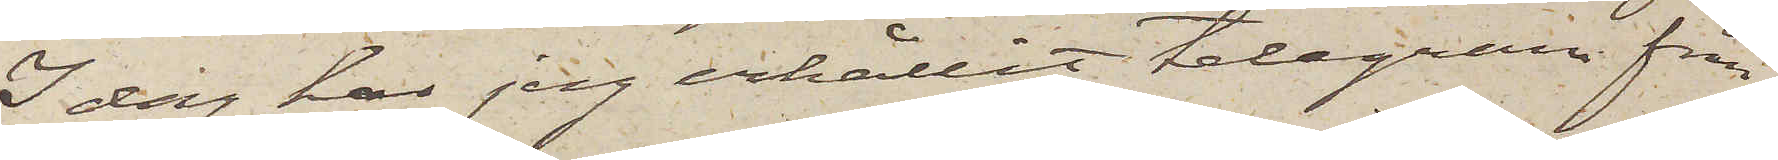I dag har jag erhållit telegram från
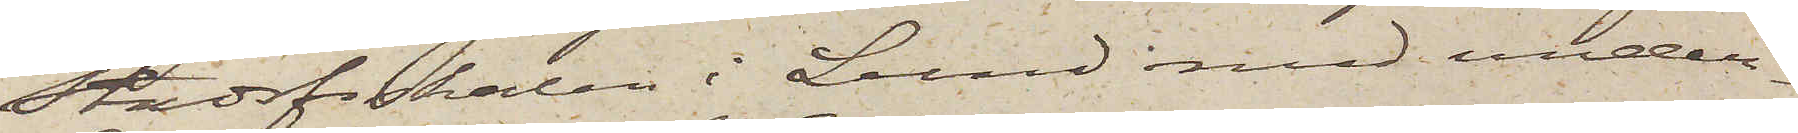Stadsfiskalen i Lund med under¬
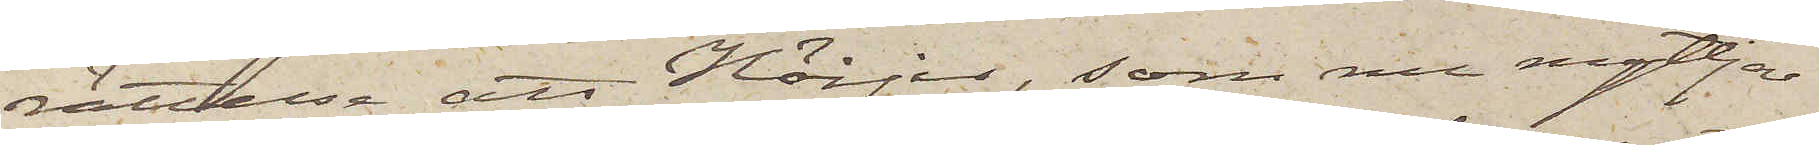rättelse att Höijer, som nu nyttar
